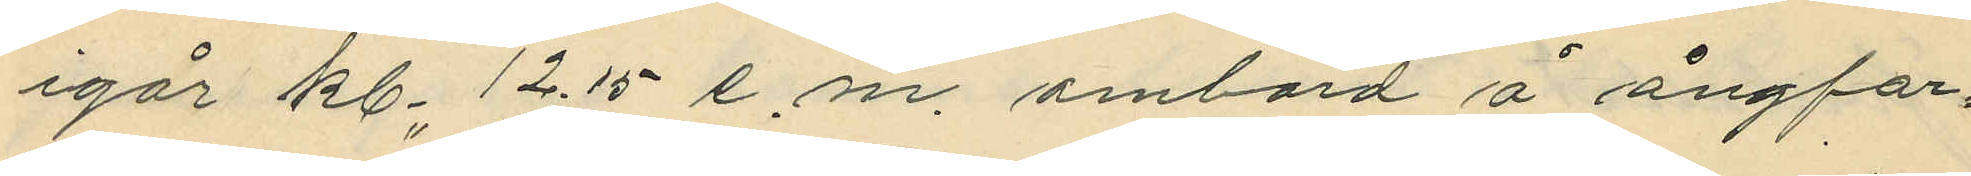igår kl. 12.15 e. m. ombord å ångfar¬
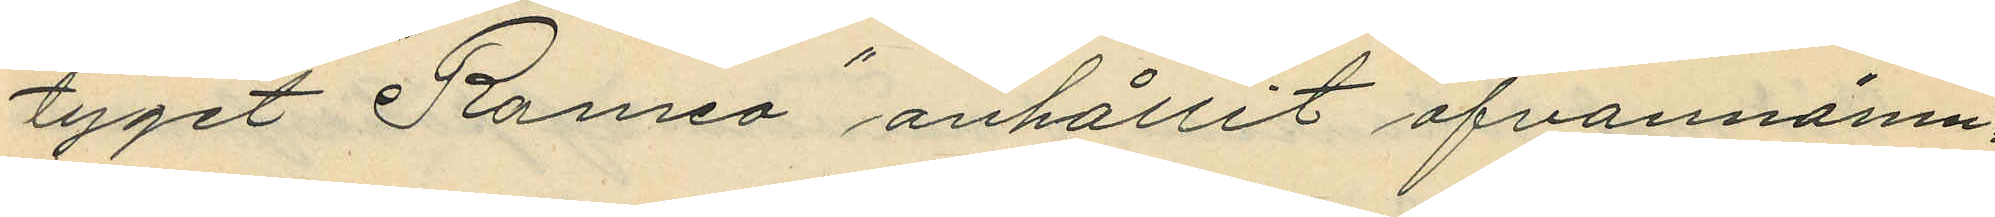tyget "Romeo" anhållit ofvannämn¬
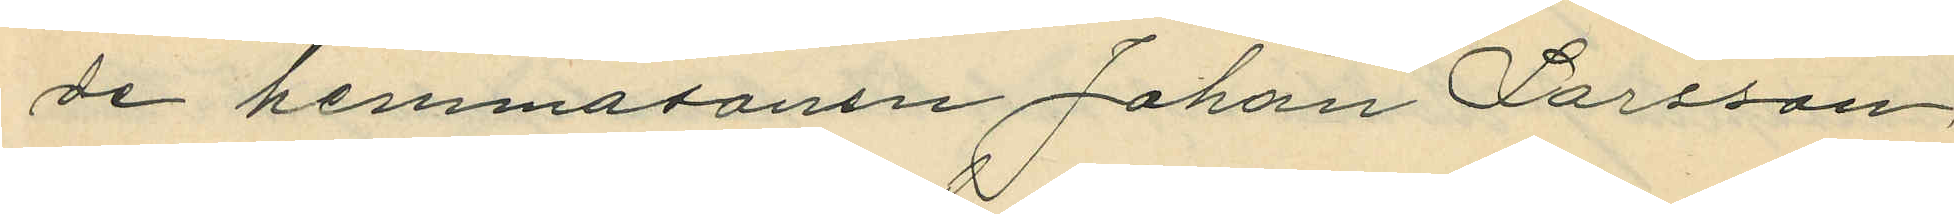de hemmasonen Johan Larsson
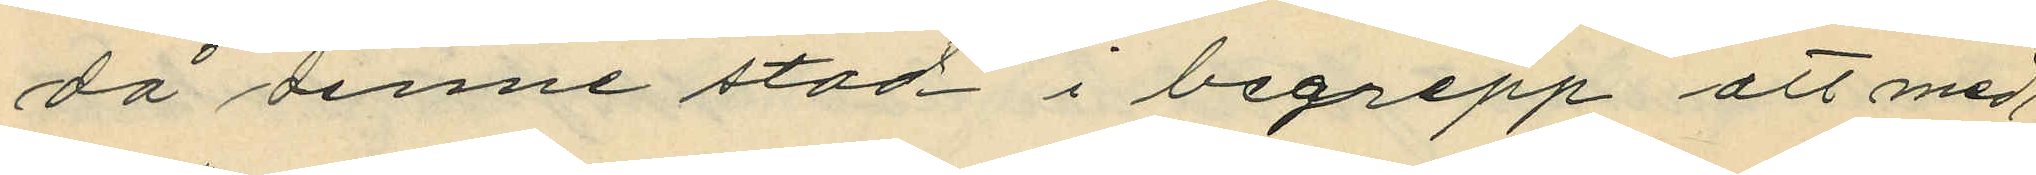då denne stod i begrepp att med
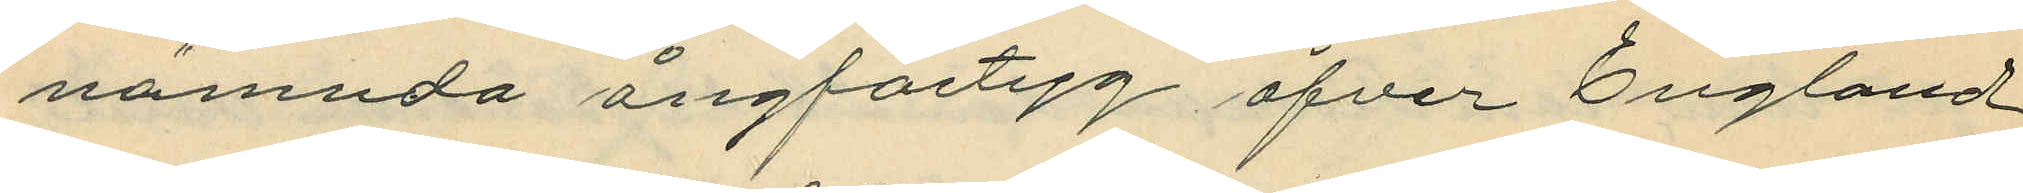nämnda ångfartyg öfver England
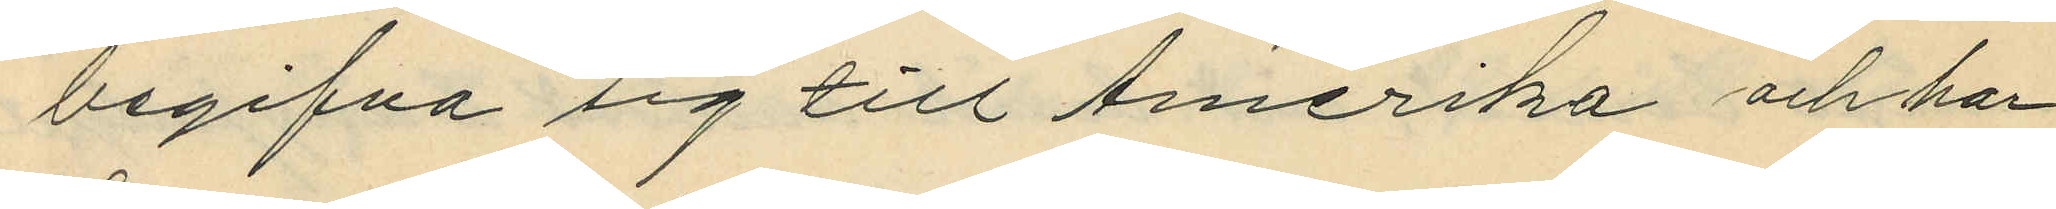begifva sig till Amerika och har
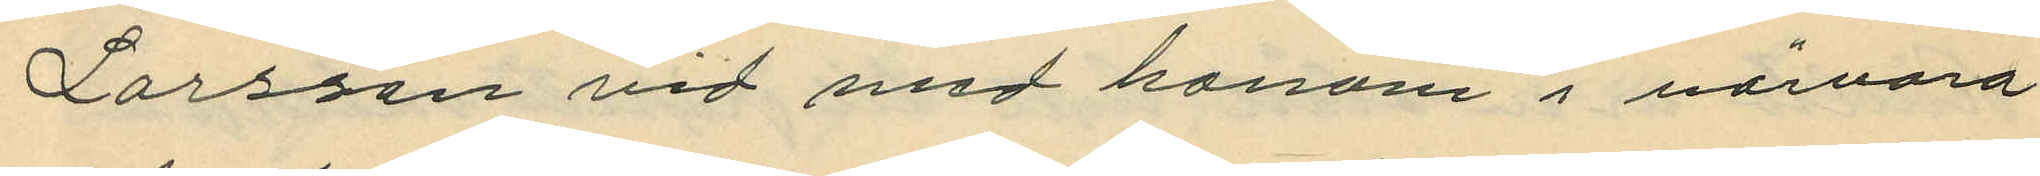Larsson vid med honom i närvaro
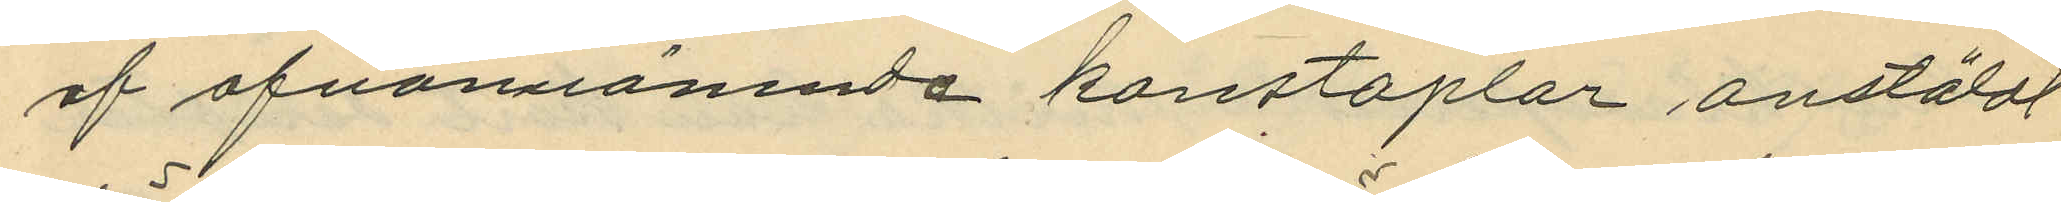af ofvanstående konstaplar anstäldt
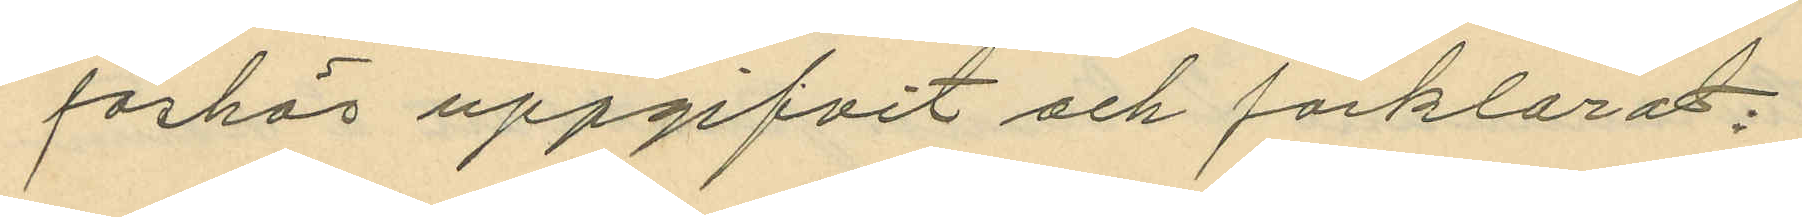förhör uppgifvit och förklarat.
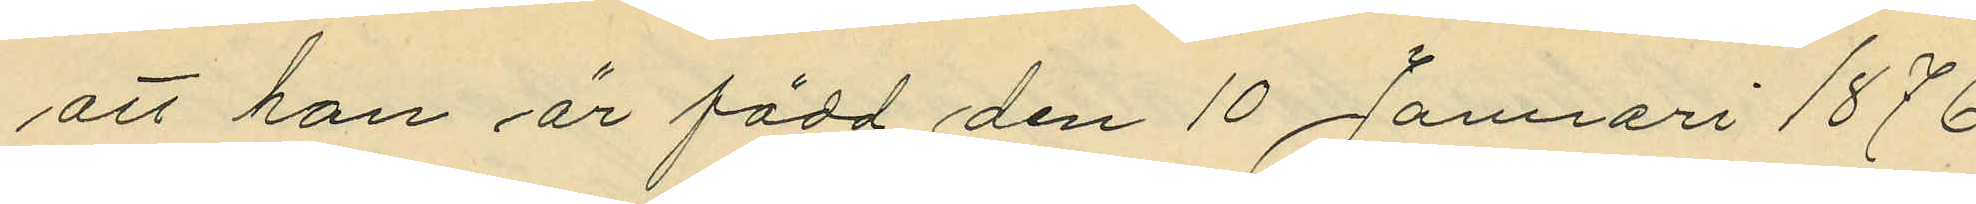att han är född den 10 Januari 1876
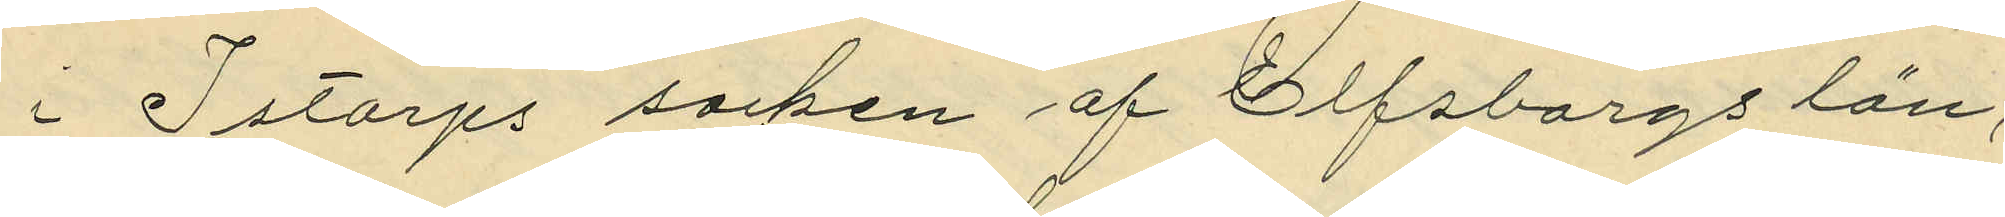i Istorps socken af Elfsborgs län,
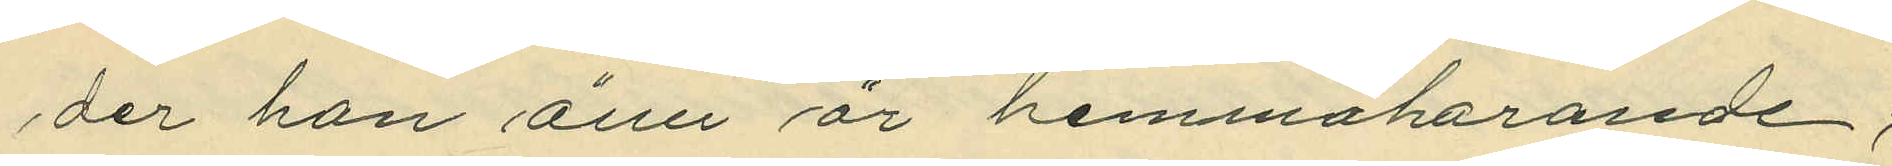der han ännu är hemmaharande;
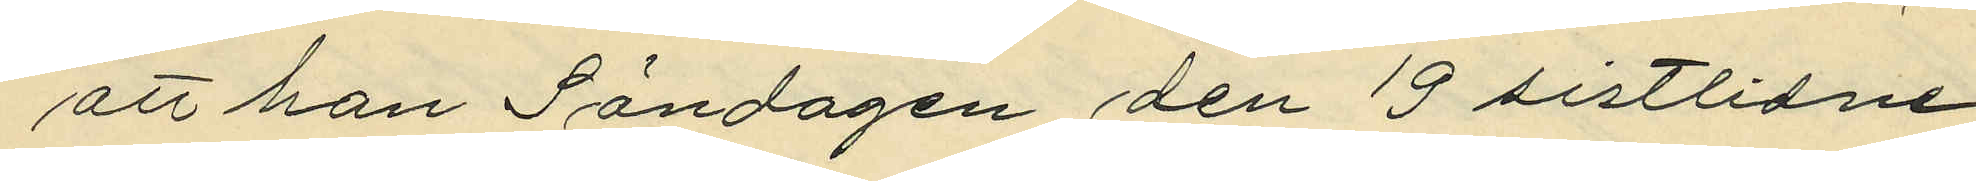att han Söndagen den 19 sistlidne
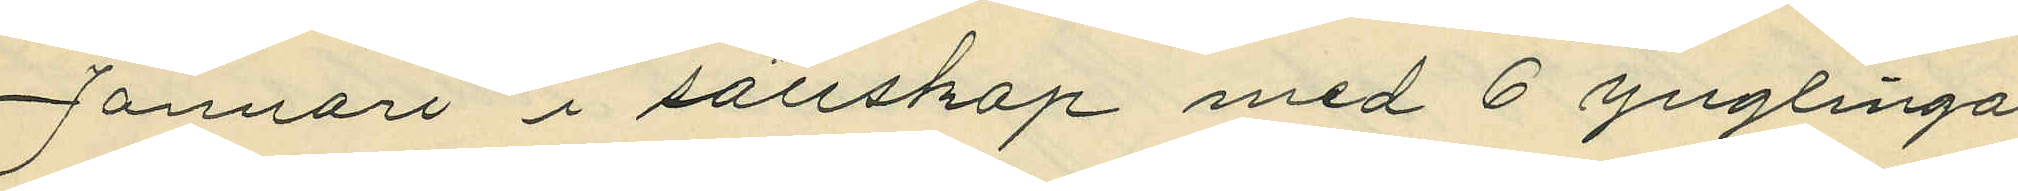Januari i sällskap med 6 ynglingar
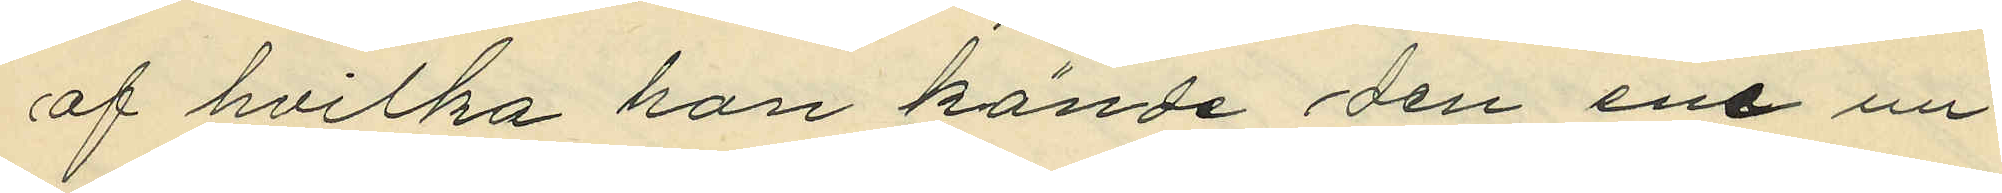af hvilka han kände den ene un¬
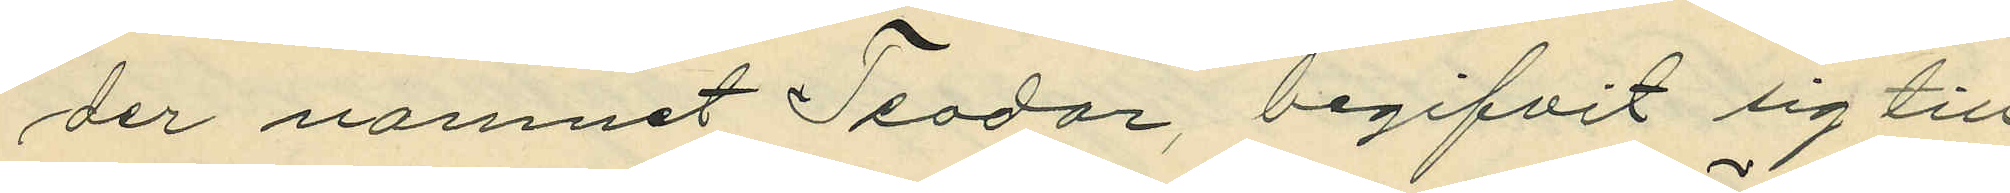der namnet Teodor, begifvit sig till
